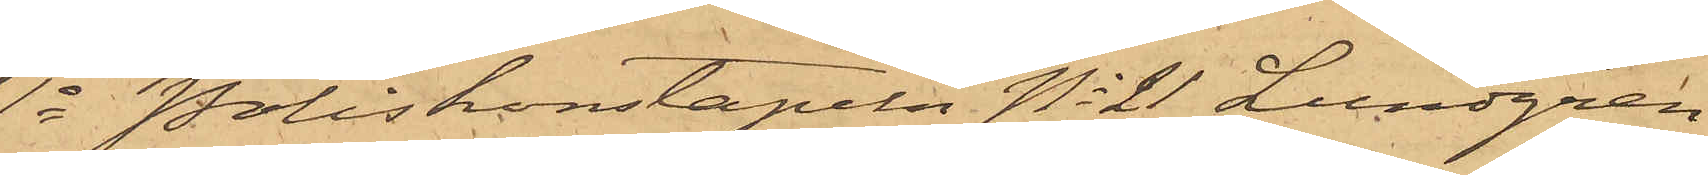1o Poliskonstapeln No 21 Lundgren
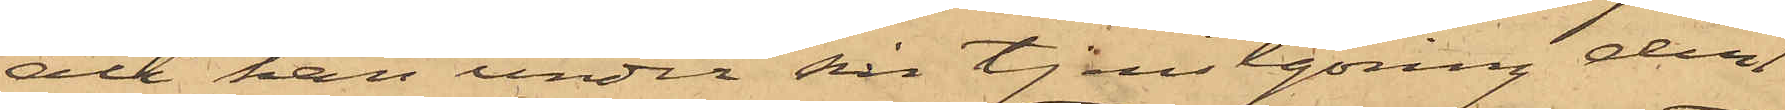att han under sin tjenstgöring den 1
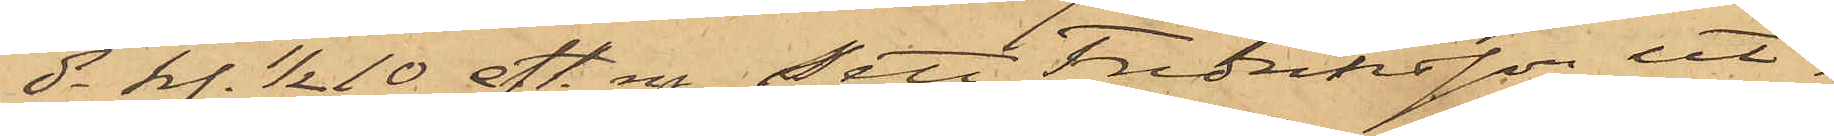ds kl. 1/2 10 eft. m. sett Fredriksson ut¬
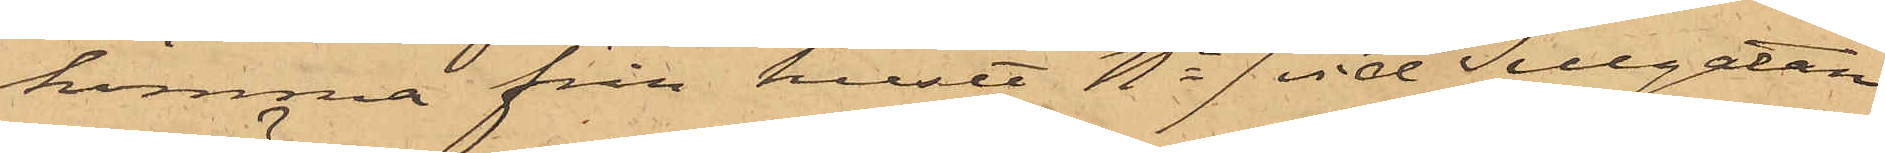komma från huset No 7 vid Sillgatan
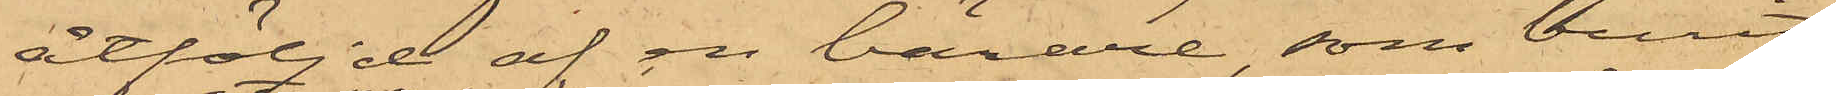åtföljd af en bärare, som burit
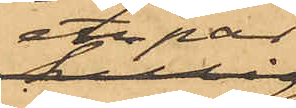ett par
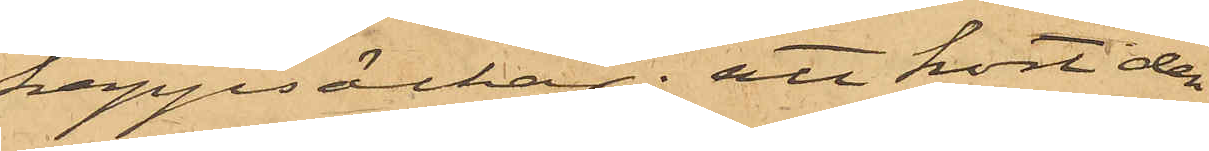kappsäckar; att kort der¬
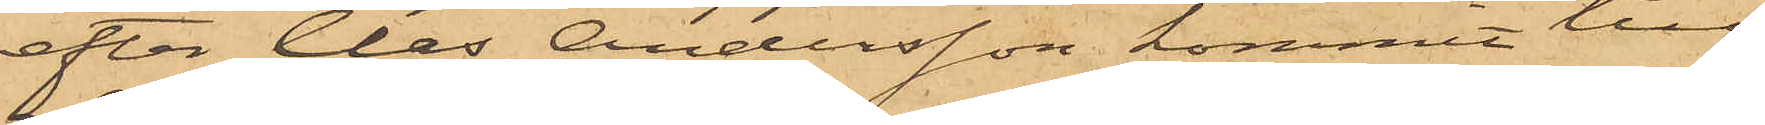efter Clas Andersson kommit till
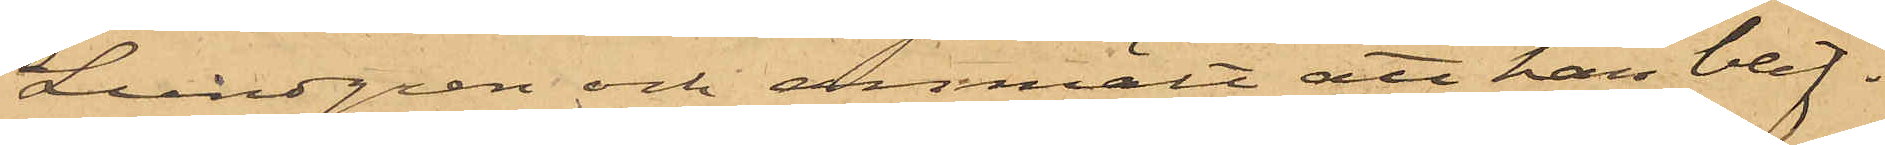Lundgren och anmält att han blif¬
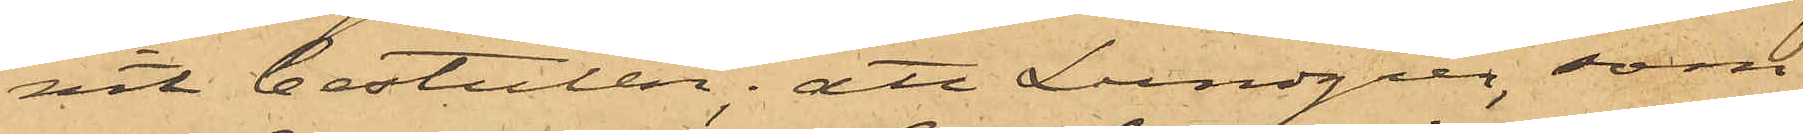vit bestulen; att Lundgren, som
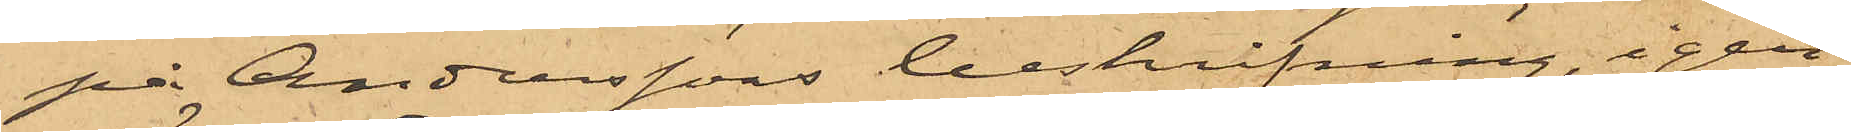på Anderssons beskrifning, igen¬
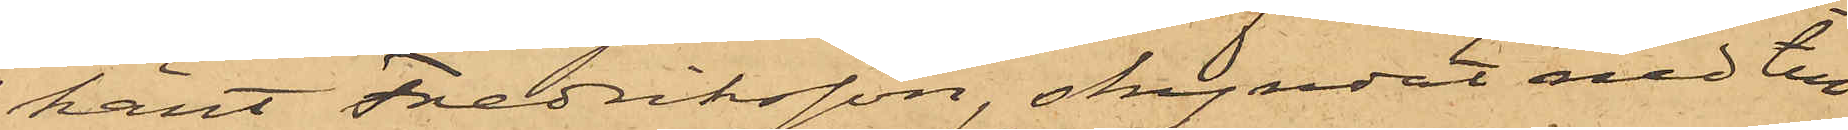känt Fredriksson, skyndat ned till
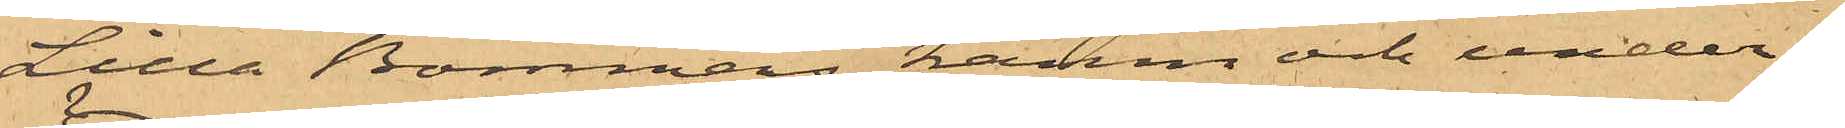Lilla Bommens hamn och under¬
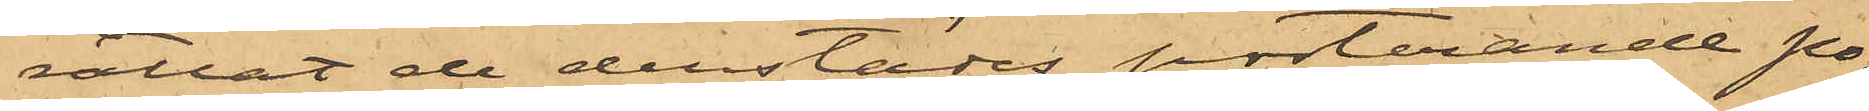rättat de derstädes posterande Po¬
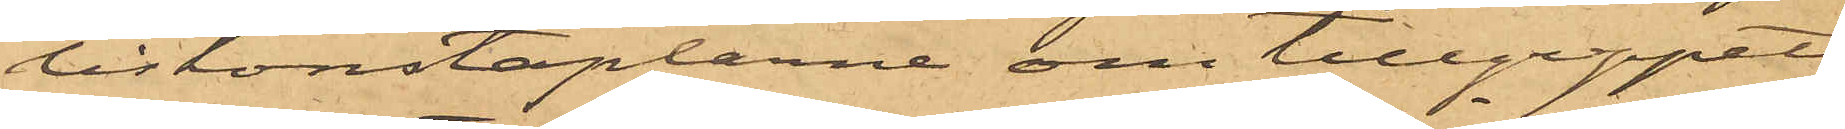liskonstaplarne om tillgreppet,
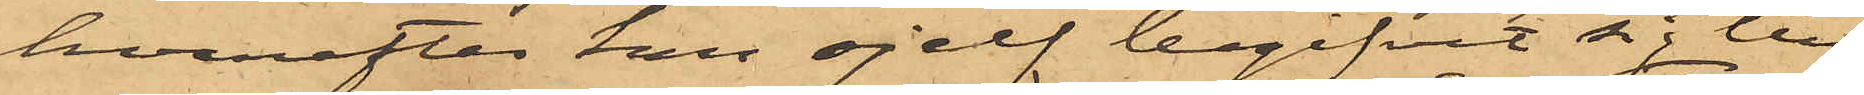hvarefter han sjelf begifvit sig till
